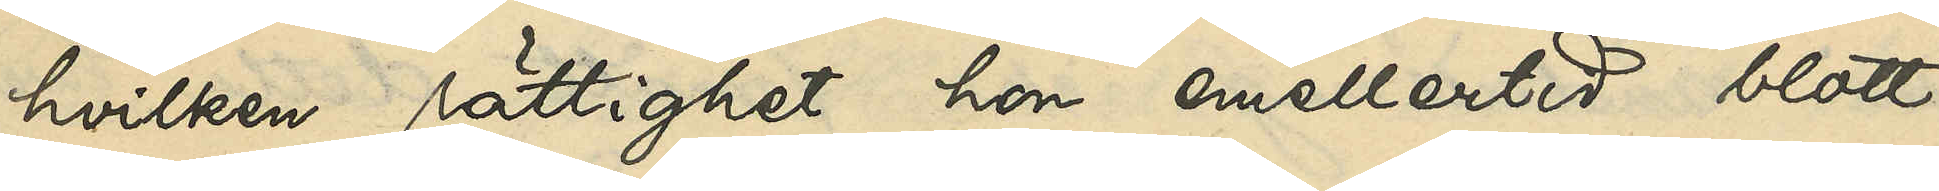hvilken rättighet hon emellertid blott
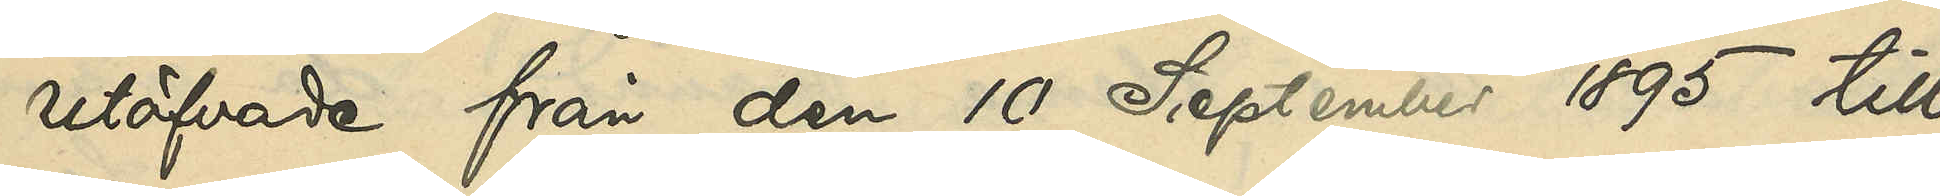utöfvade från den 10 September 1895 till
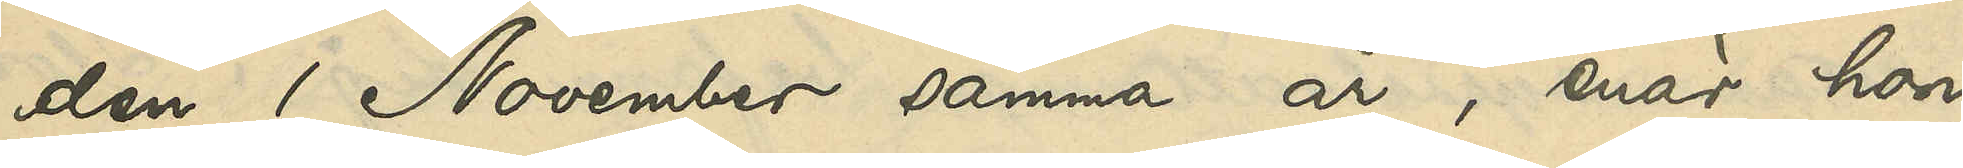den 1 November samma år, enär hon
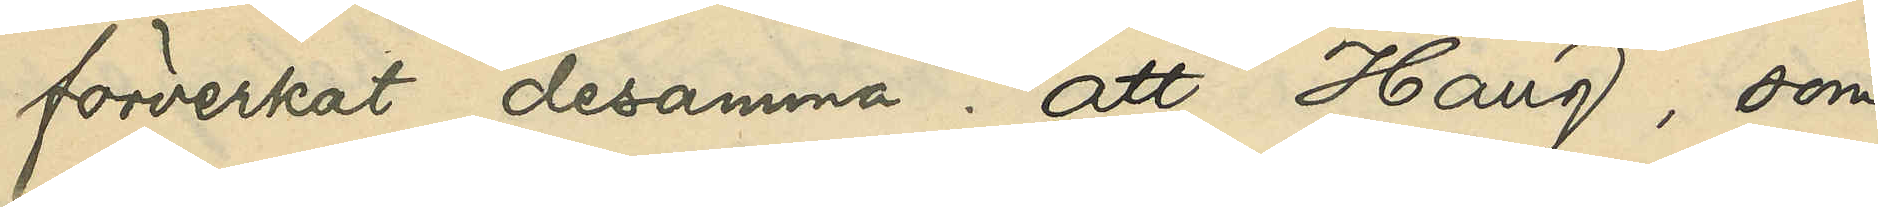förverkat desamma; att Haug, som
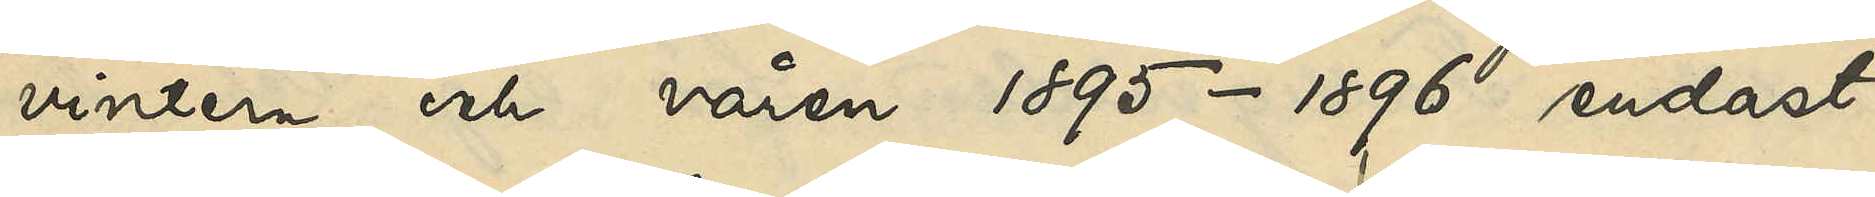vintern och våren 1895-1896 endast
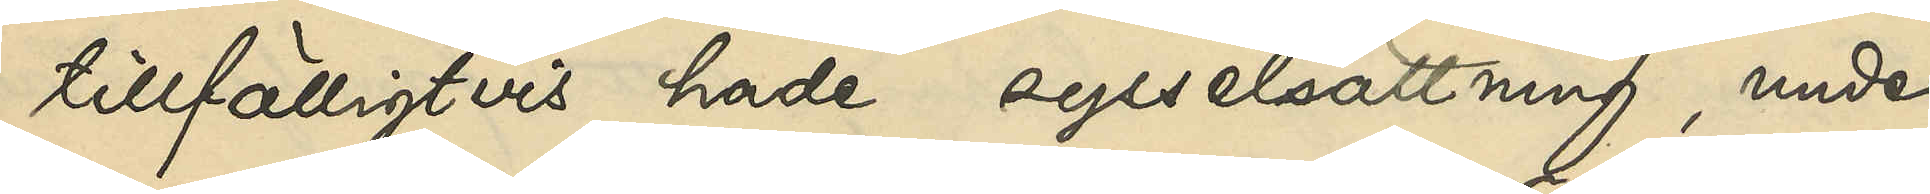tillfälligtvis hade sysselsättning, under
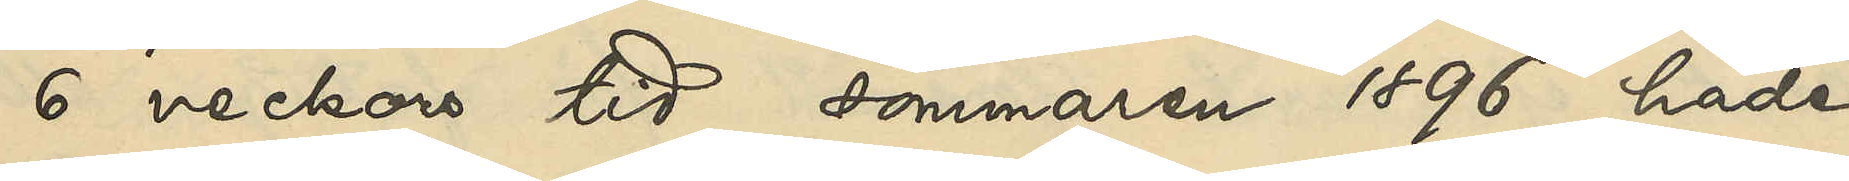6 veckors tid sommaren 1896 hade
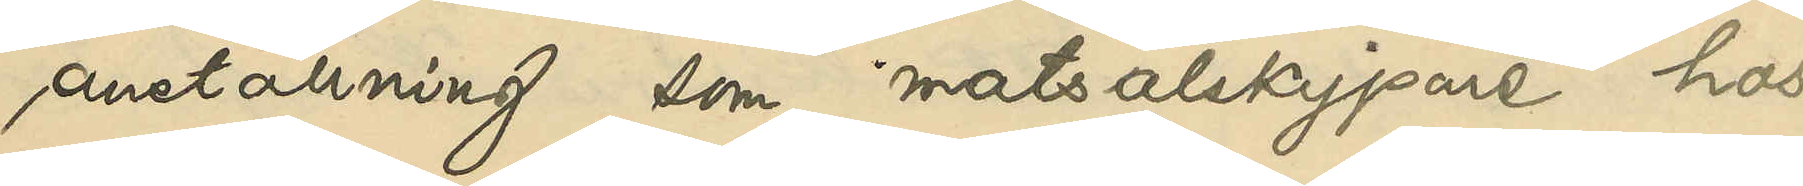anställning som matsalskypare hos
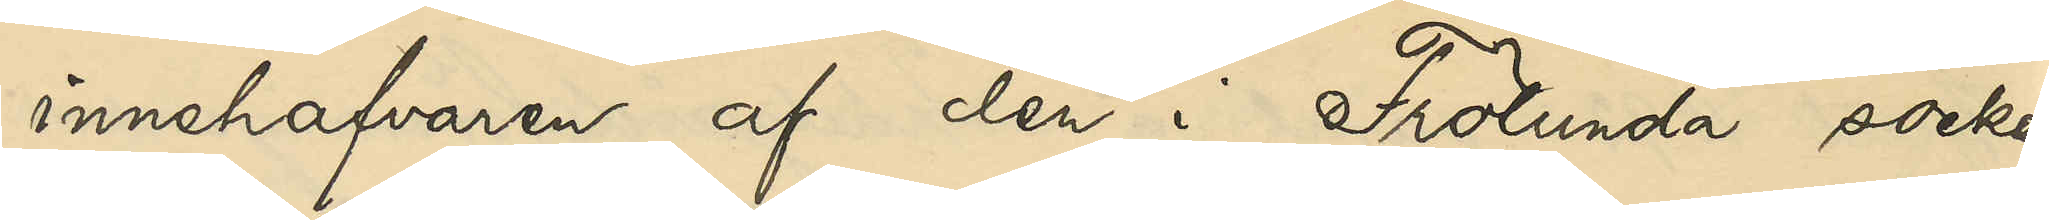innehafvaren af den i Frölunda socken
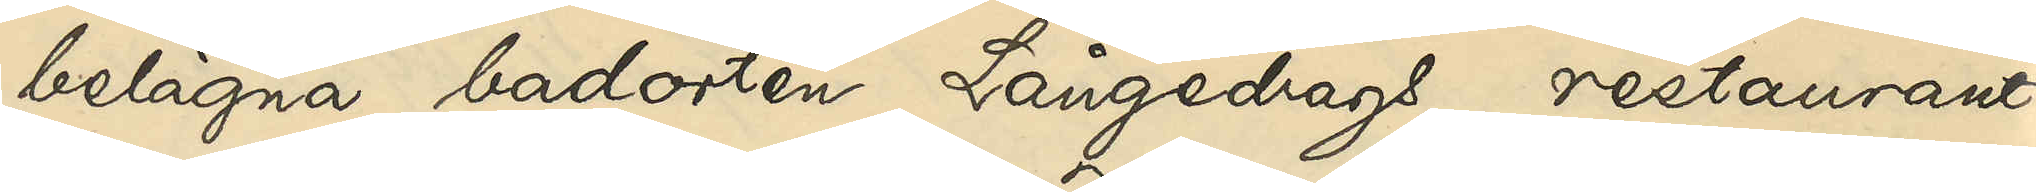belägna badorten Långedrags restaurant
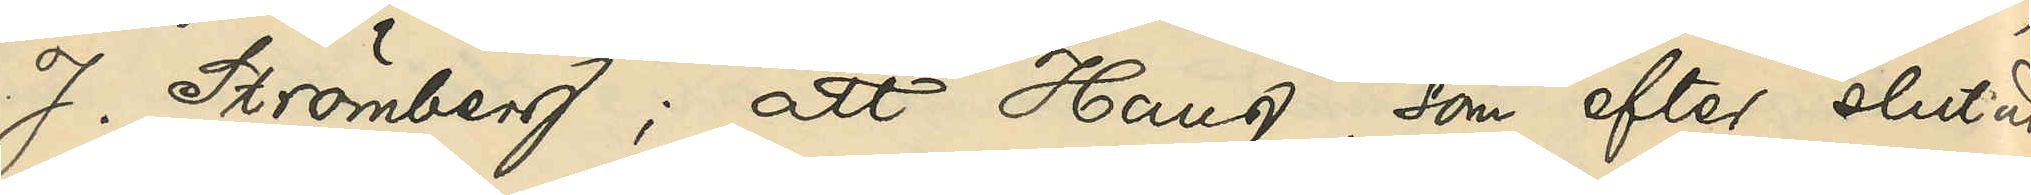J. Strömberg; att Haug, som efter slutad
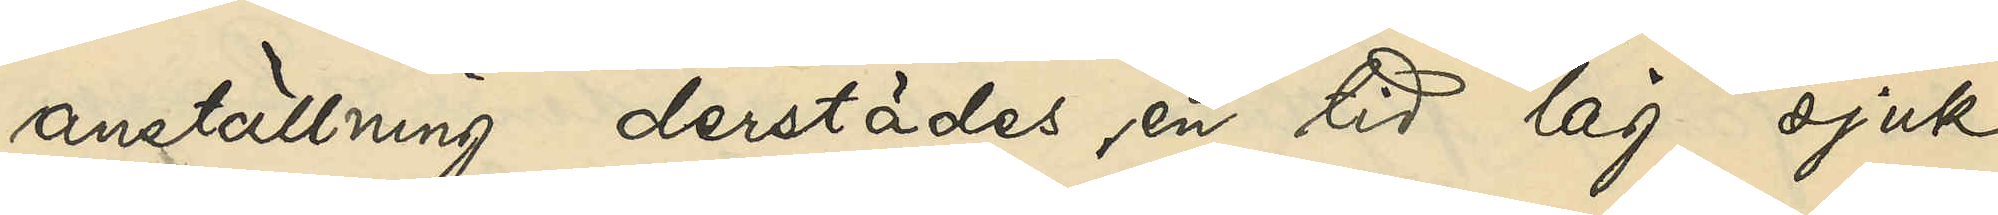anställning derstädes, en tid låg sjuk,
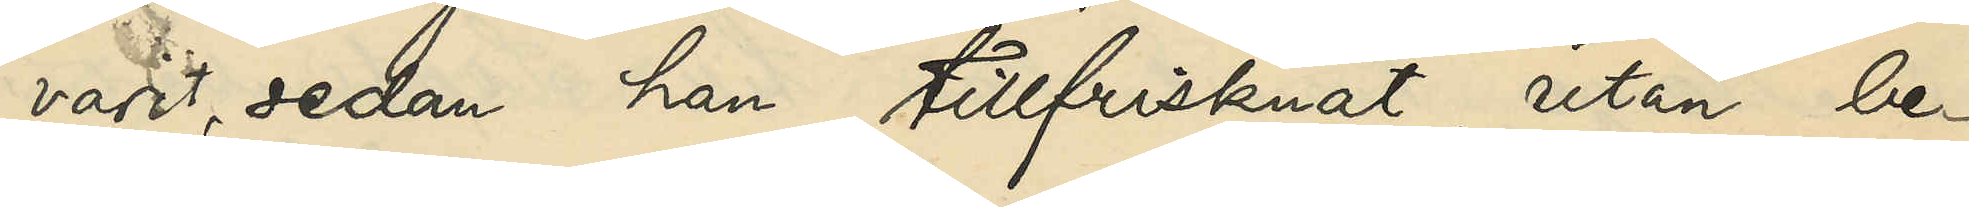varit, sedan han tillfrisknat, utan be¬
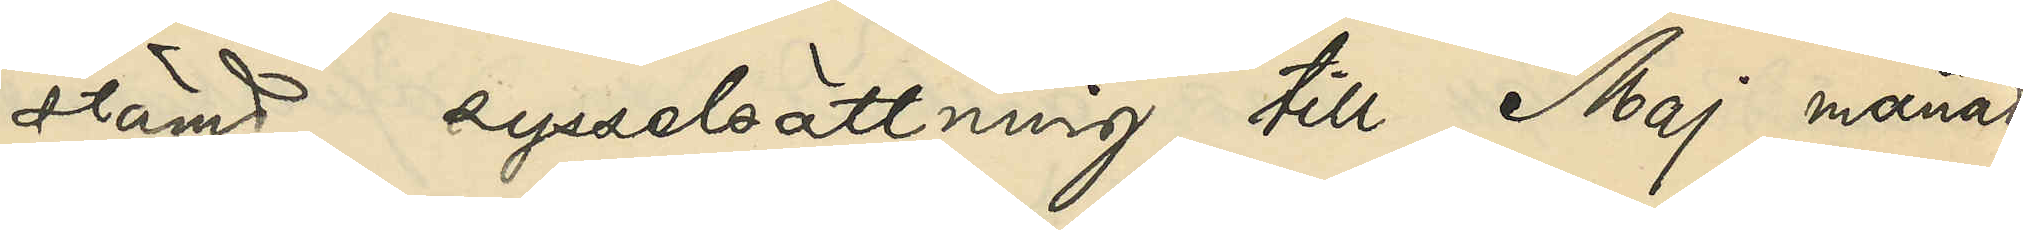stämd sysselsättning till Maj månad
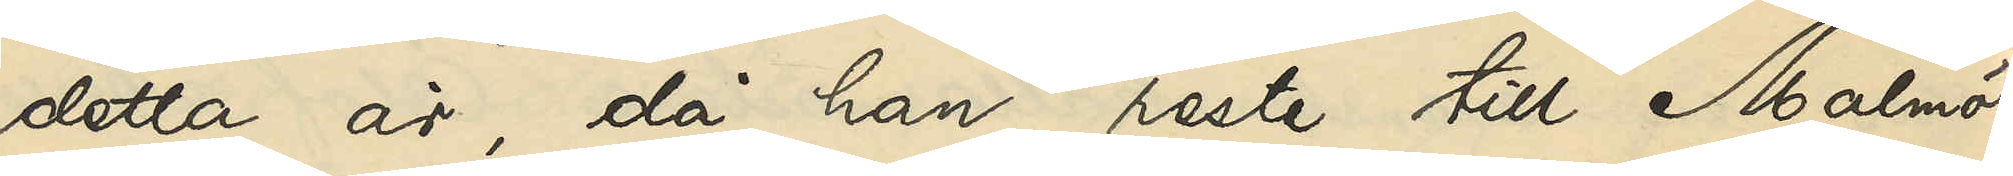detta år, då han reste till Malmö,
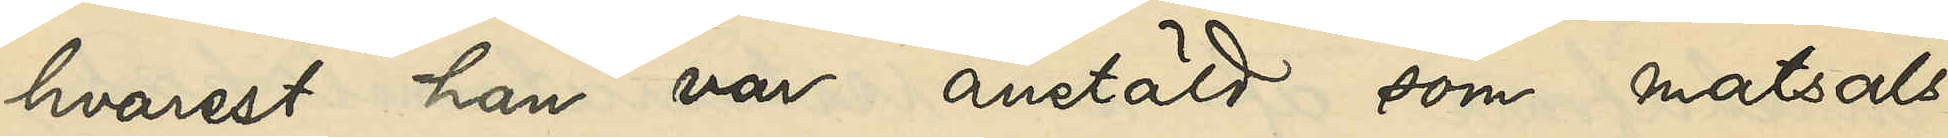hvarest han var anstäld som matsals¬
